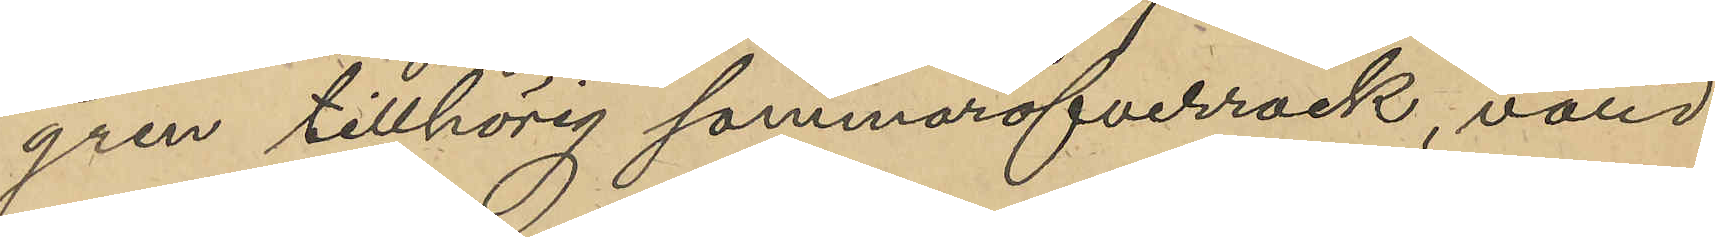gren tillhörig sommaröfverrock, värd
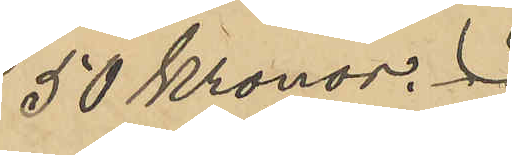50 Kronor.
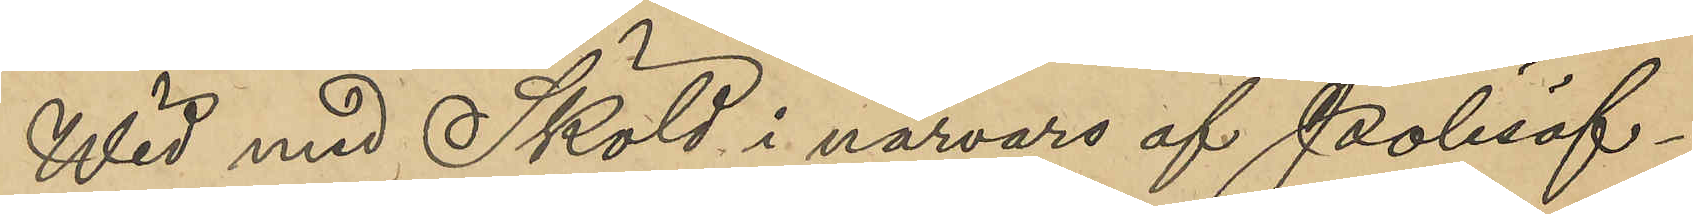Wid med Sköld i nårvaro af Polisöf¬
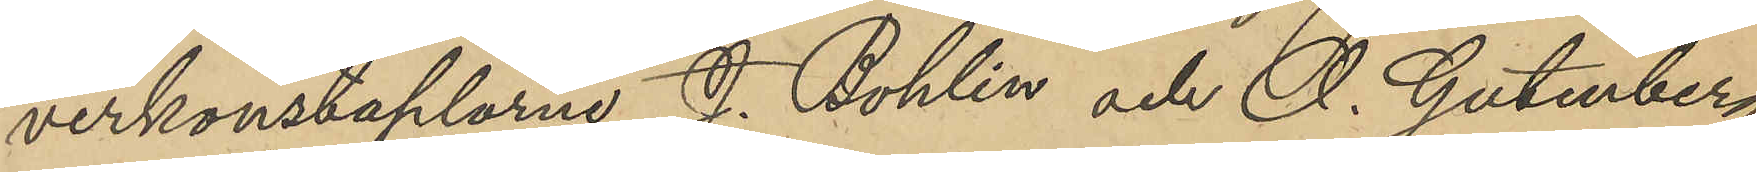verkonstaplarne J. Bohlin och O. Gutenberg
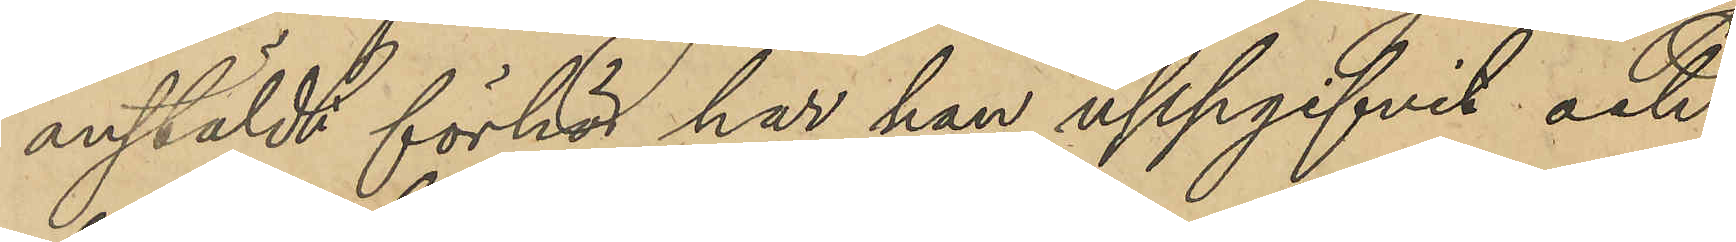anstäldt förhör har han uppgifvit och
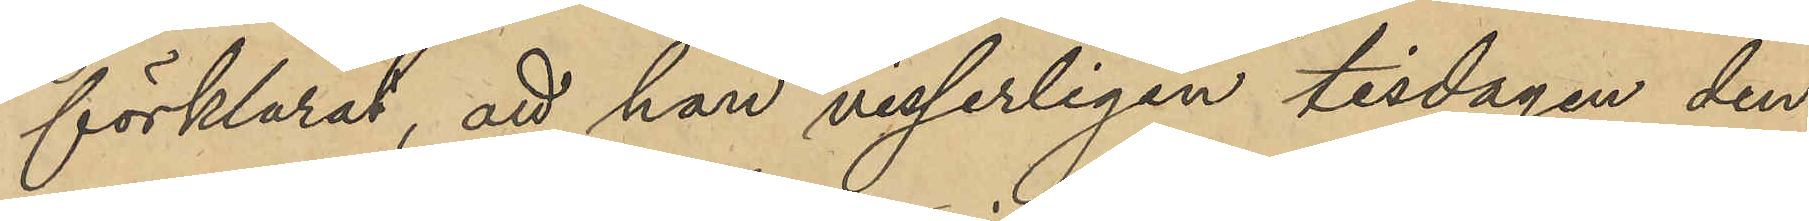förklarat, att han visserligen tisdagen den
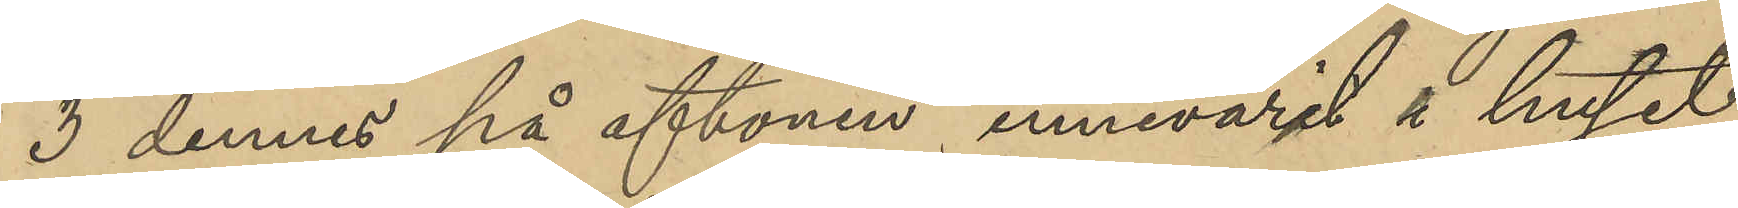3 dennes på aftonen innevarit i huset
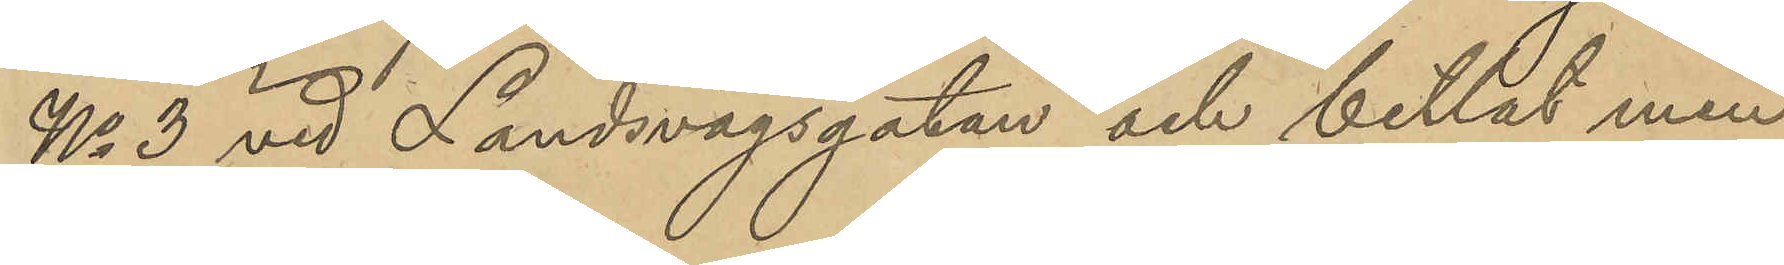No 3 vid Landsvägsgatan och bettlat men
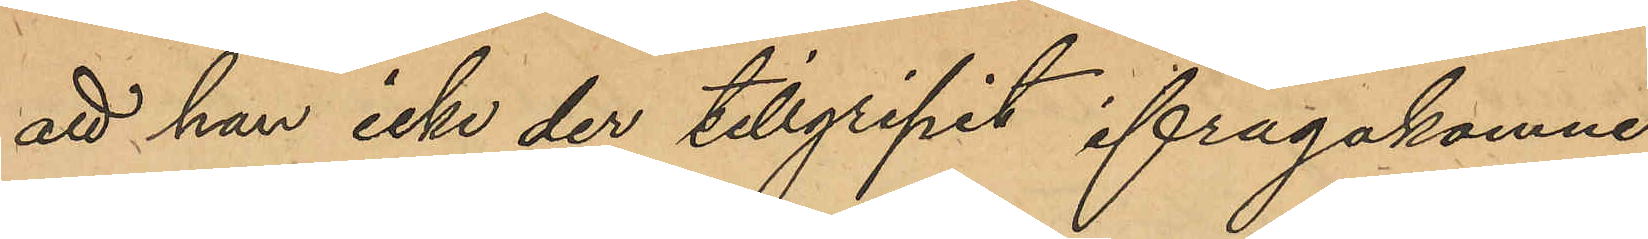att han icke der tillgripit ifrågakomne
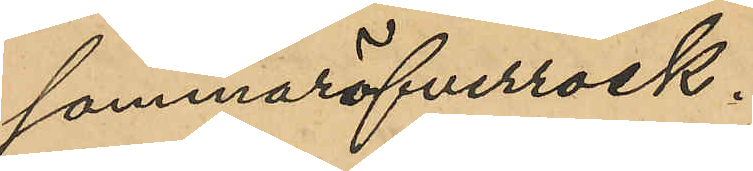sommaröfverrock.
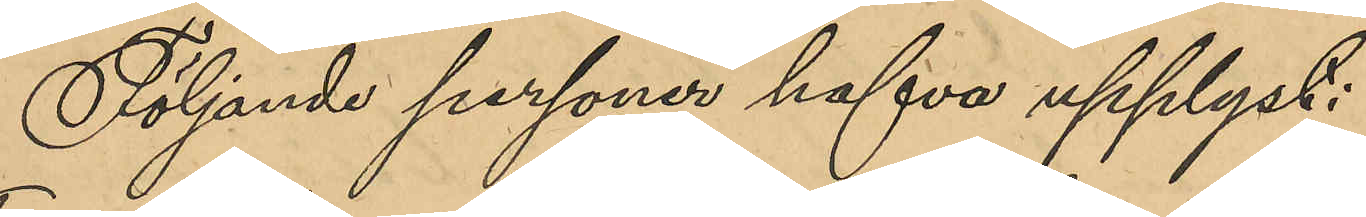Följande personer hafva upplyst:
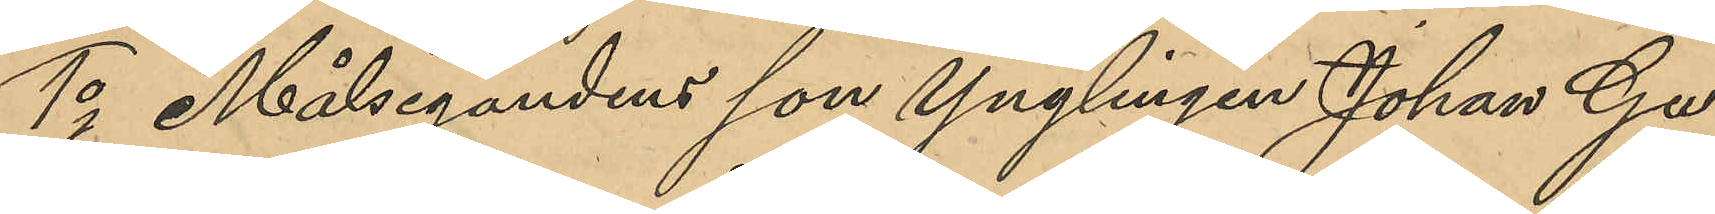1o Målsegandens son Ynglingen Johan Gu¬
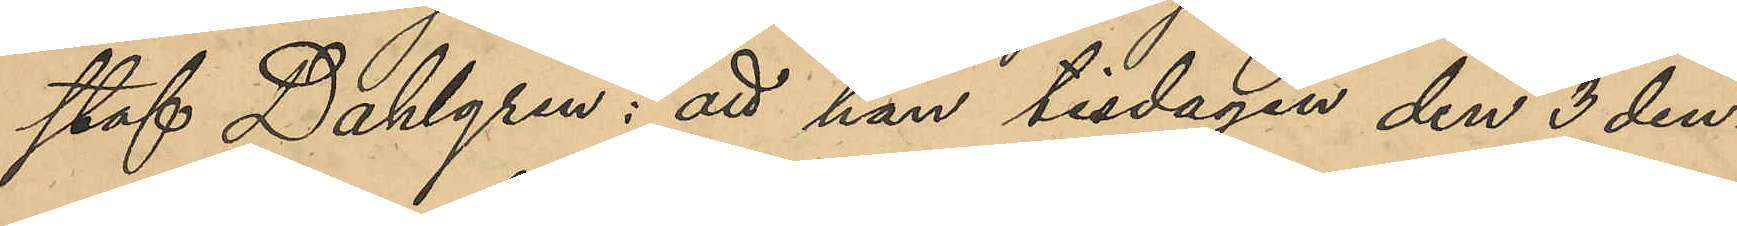staf Dahlgren: att han tisdagen den 3 den¬
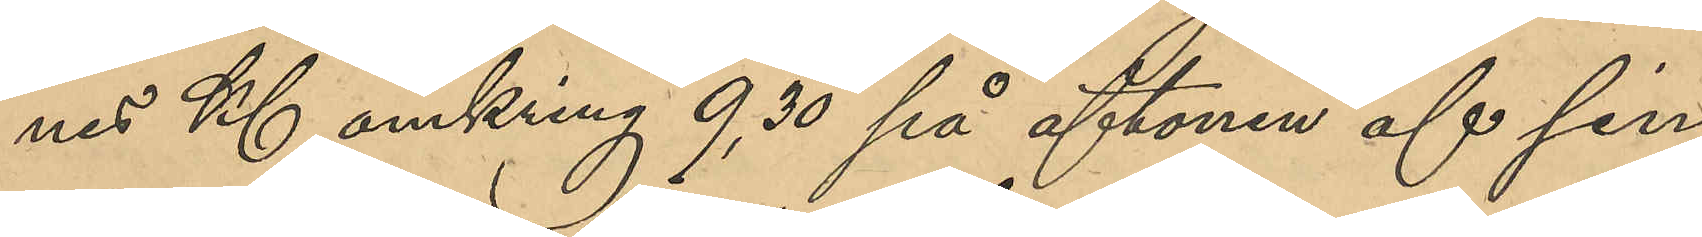nes Kl omkring 9,30 på aftonen af sin
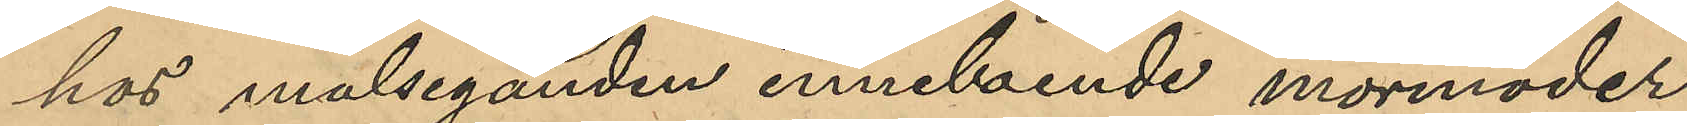hos målseganden inneboende mormoder
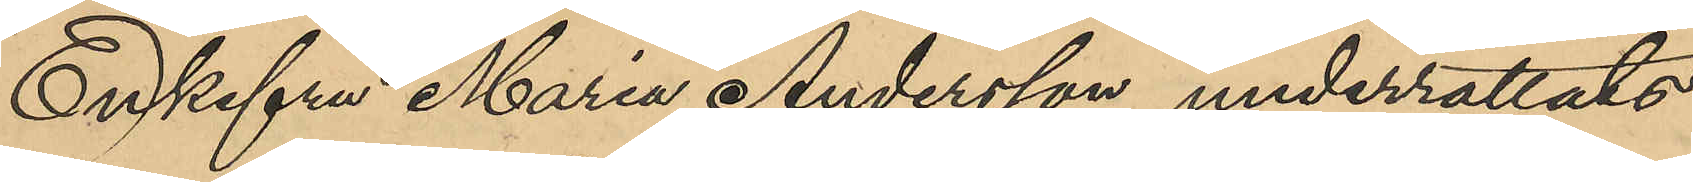Enkefru Maria Andersson underrättades
